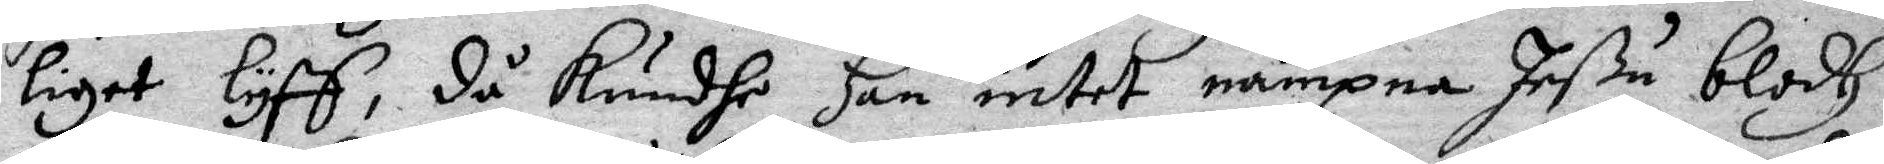liget lyff, då kundhe Han intet nämpna Jeßu blodh
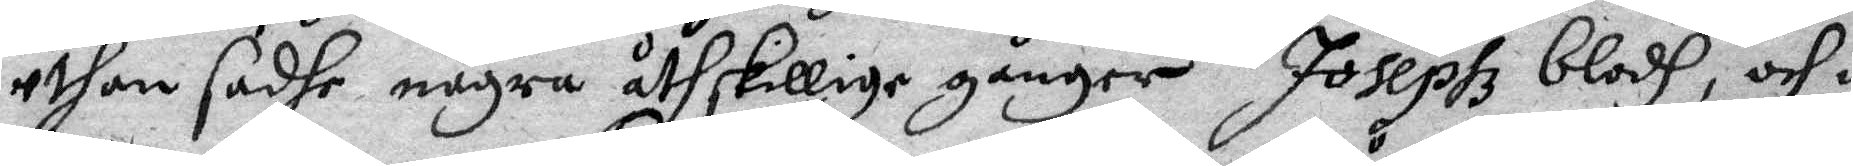uthan sadje några åtskillige gånger Josephz blodh, och i
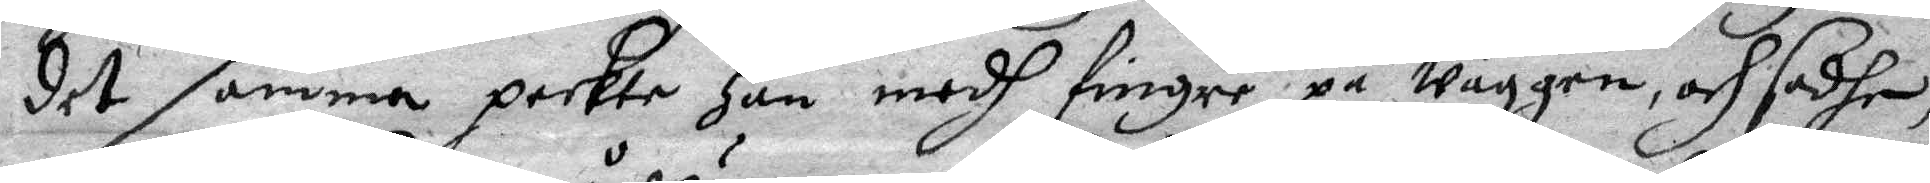det samma pekte Han medh fingre på wäggen och sadhe,
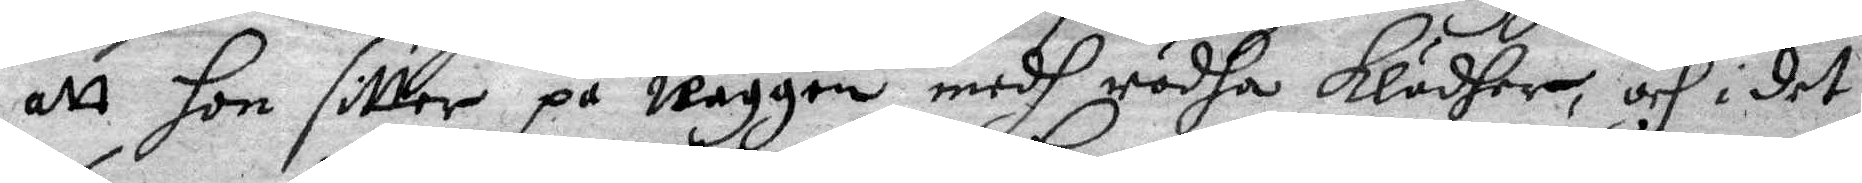att Hon sitter på wäggen medh rädha klädher, och i det
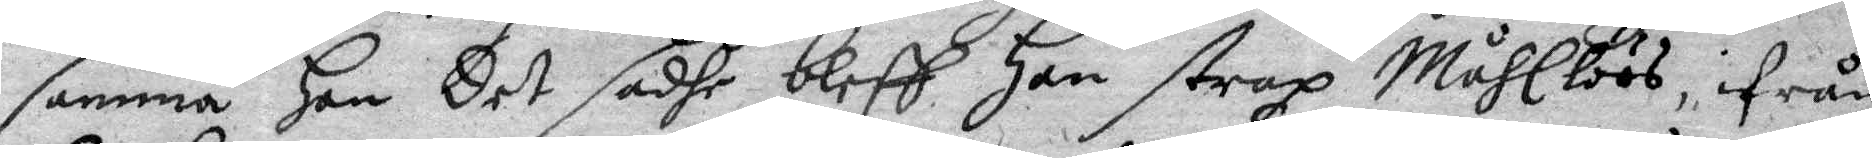samma Han Det sadhe bleff Han strax Måhllöös, ifrån
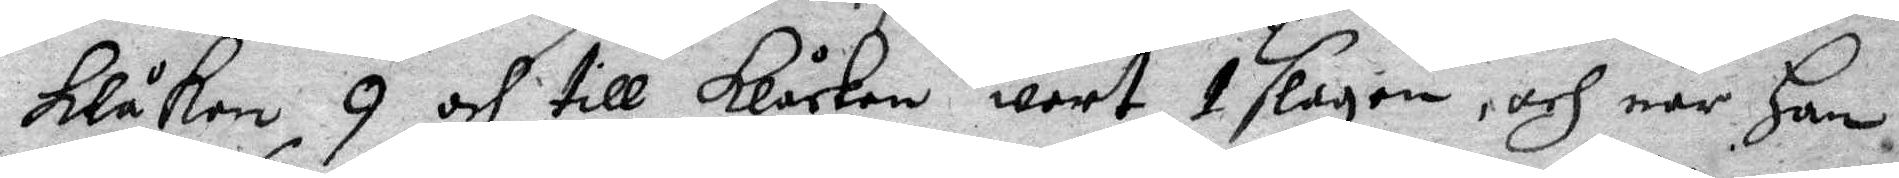Klåkan 9 och till Klåckan wart 1 slagen, och när Han
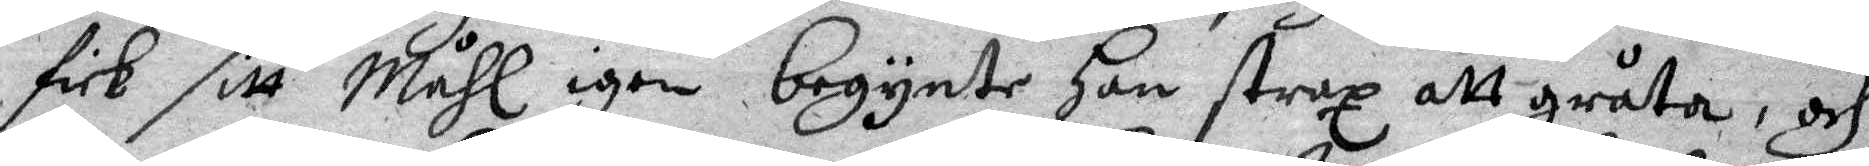fick sitt Måhl igen begynte Han strax att gråta, och
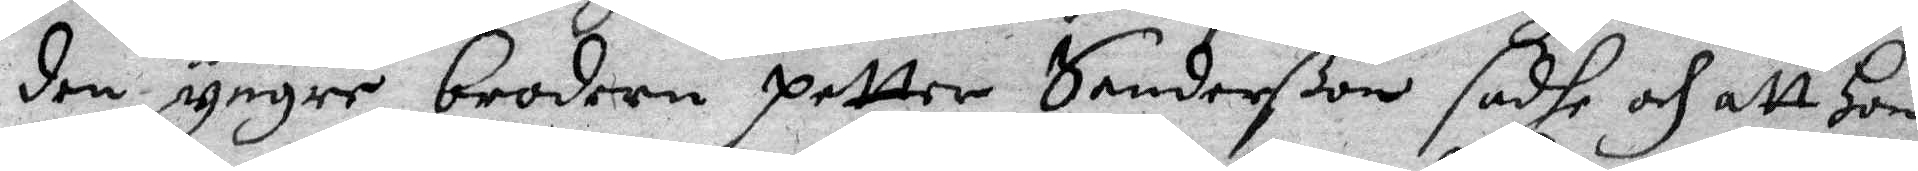den yngre brodern petter Sanderßon sadhe och att Hon
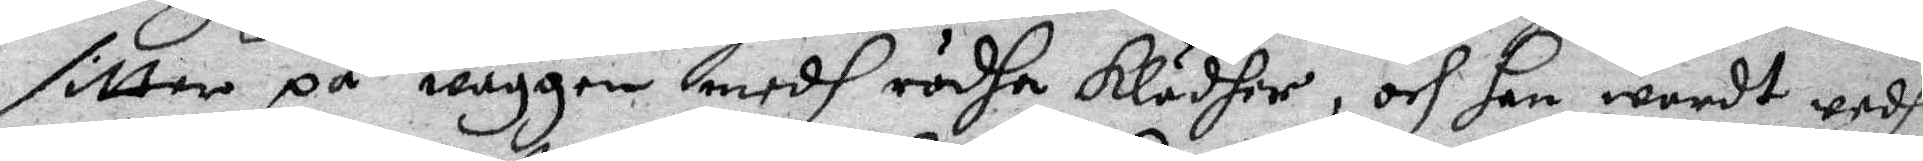sitter på wäggen medh rödha Klädher, och Han wardt wedh
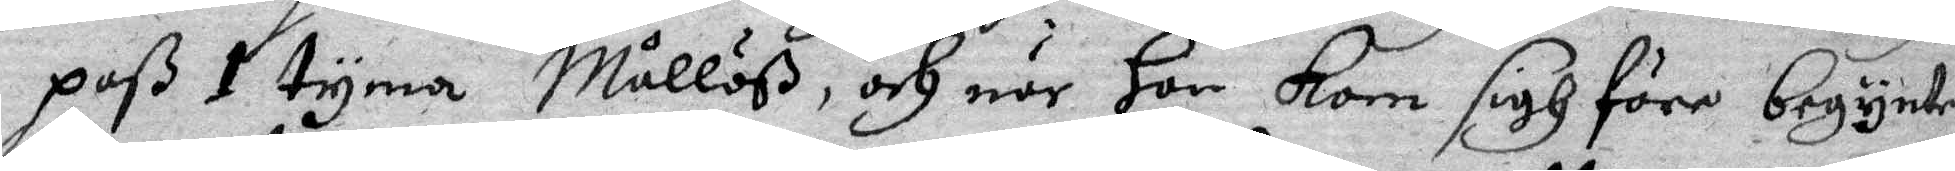paß 1 tyma Måhllöß, och när Han Kom sigh före begynte
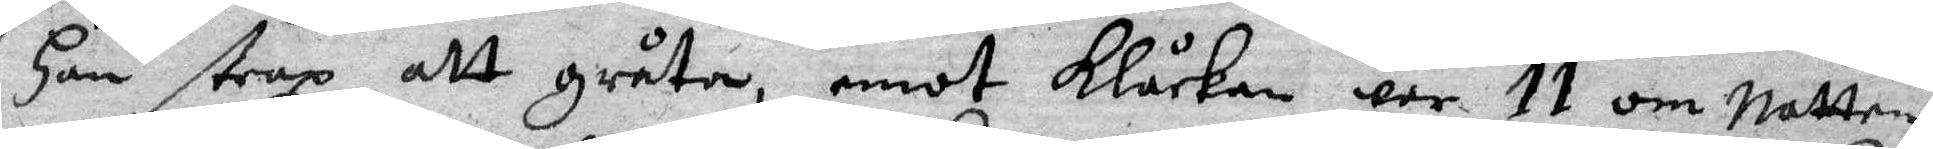Han strax att gråta, emot Klåckan war 11 om natten
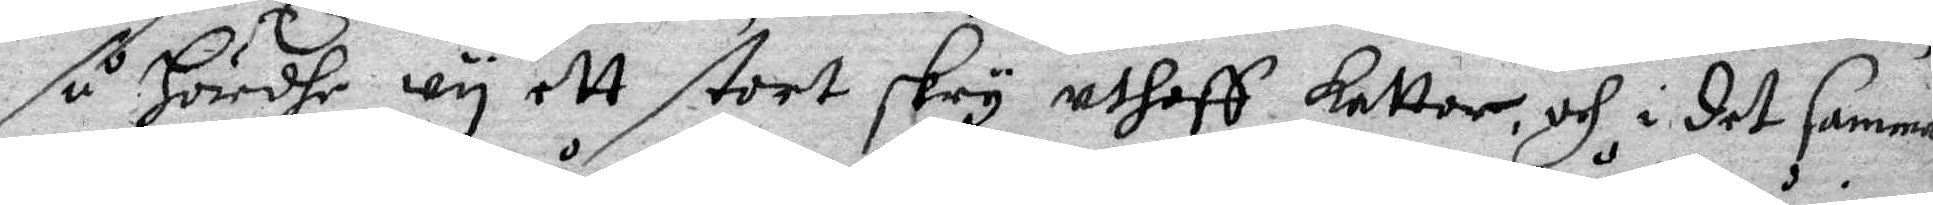så Hördhe wy ett stort skry uthaff kattor, och i det samma
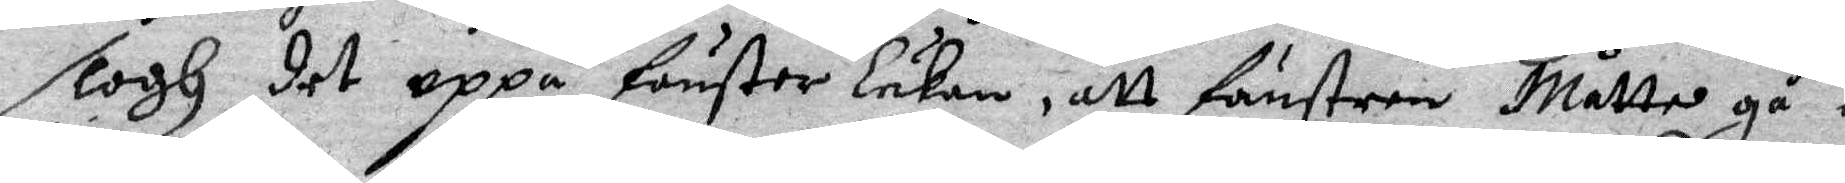slogh det uppå fönster lukan, att fönstren Måtte gå i
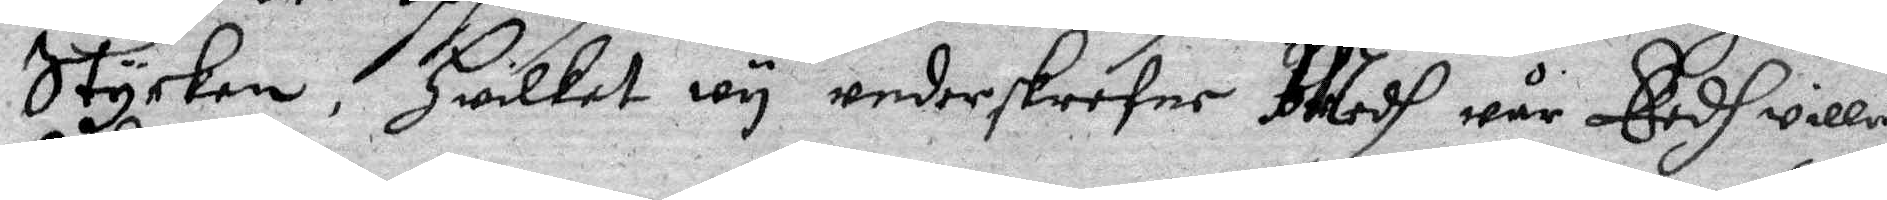Stycken, Hwilket wy underskrefne Medh wår Eedh willia
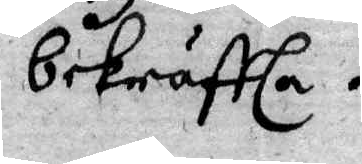bekräffta.
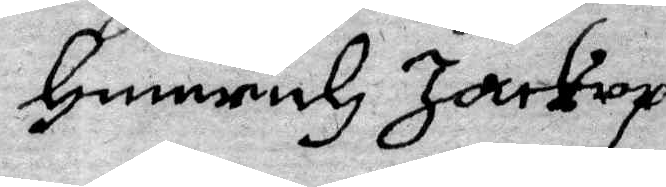Hennrich Jarkrop
